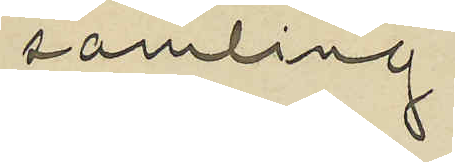samling.
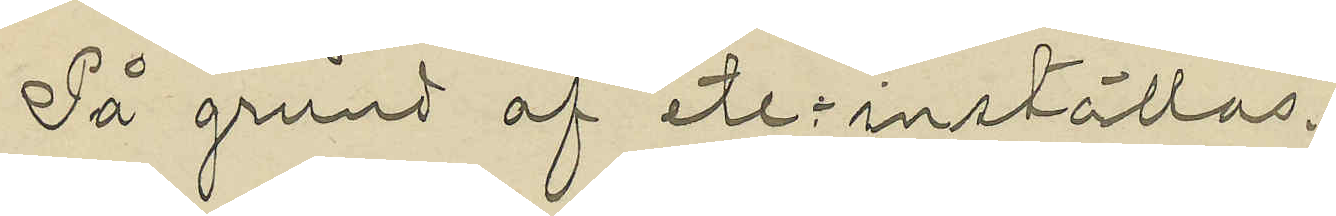På grund af etc. inställas.
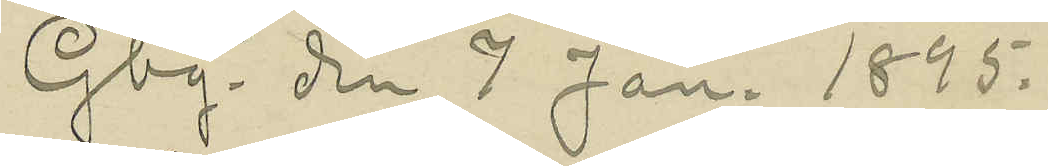Gbg. den 7 Jan. 1895.
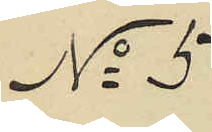No 5
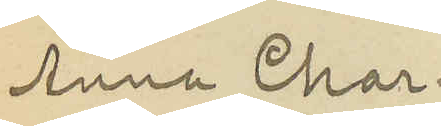Anna Char¬
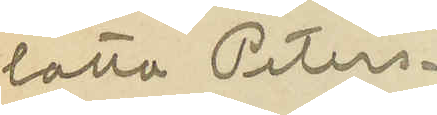lotta Peters¬
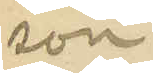son
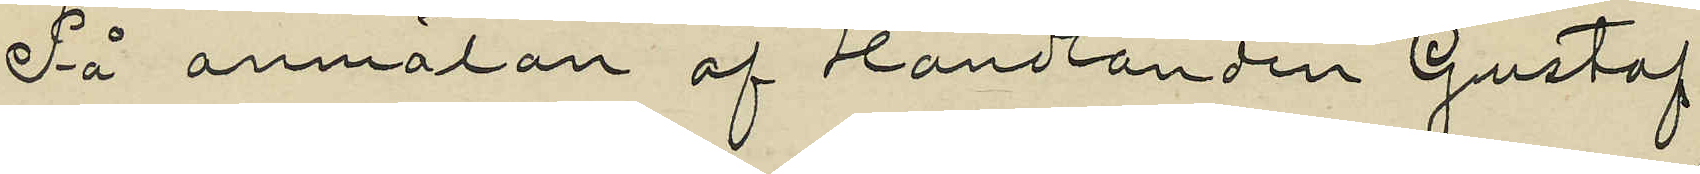På anmälan af Handlanden Gustaf
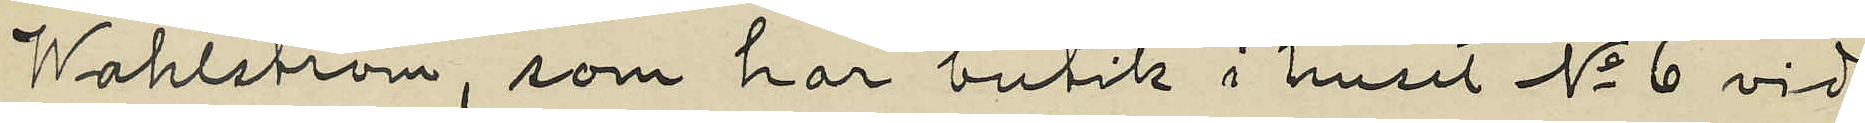Wahlström, som har butik i huset No 6 vid
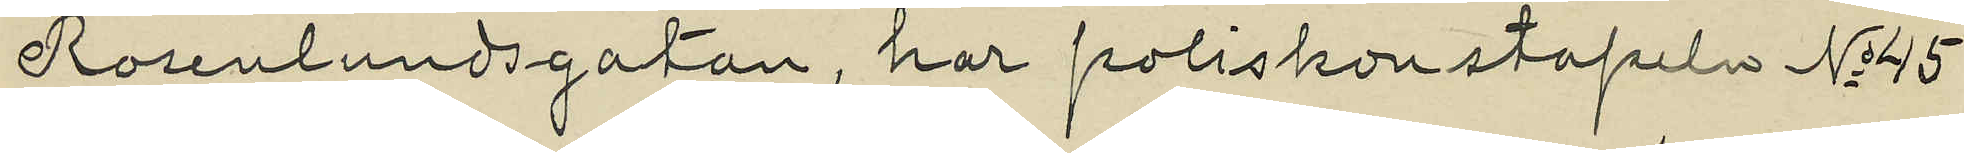Rosenlundsgatan, har poliskonstapeln No 45
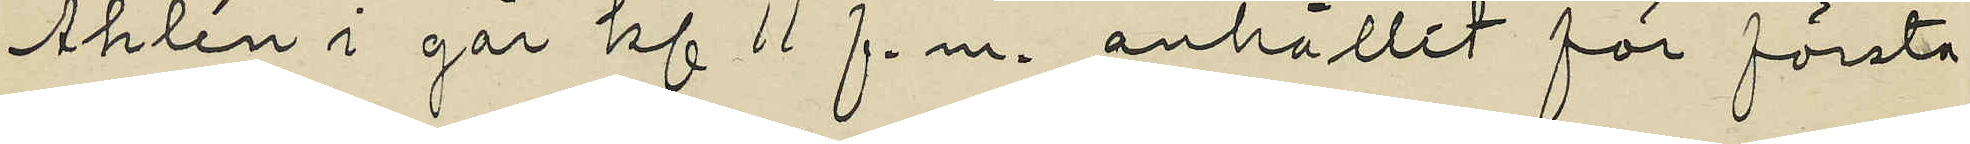Åhlén i går kl 11 f. m. anhållit för första
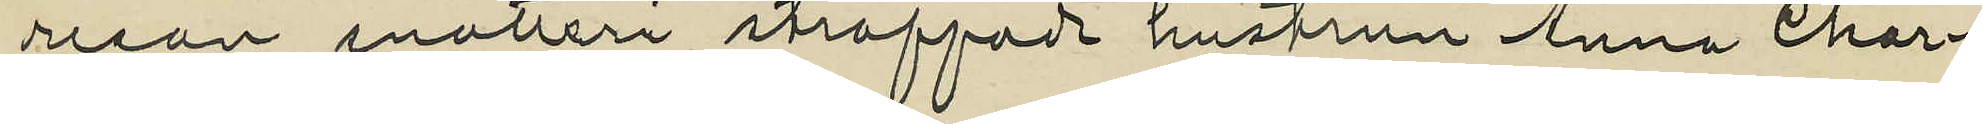resan snatteri straffade hustrun Anna Char¬
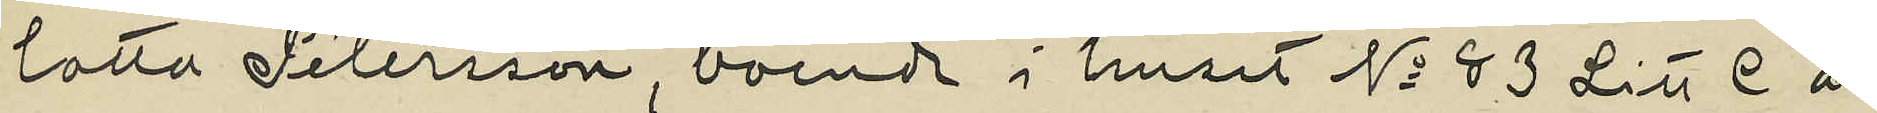lotta Petersson, boende i huset No 83 Litt C å
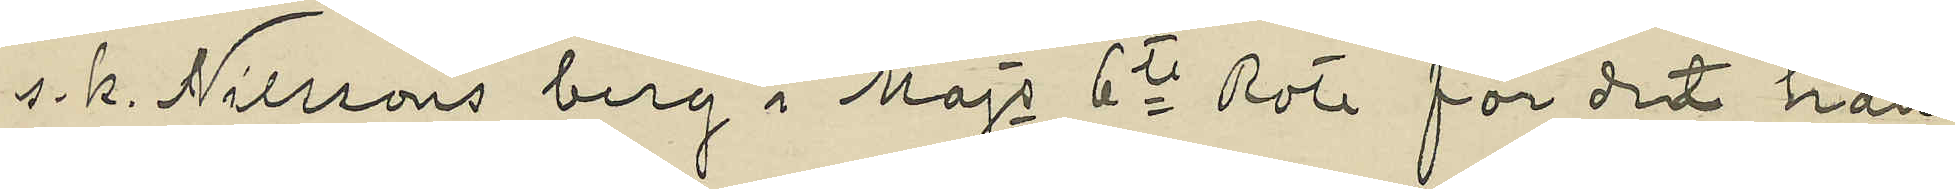s. k. Nilssons berg i Majs 6te Rote för det hon
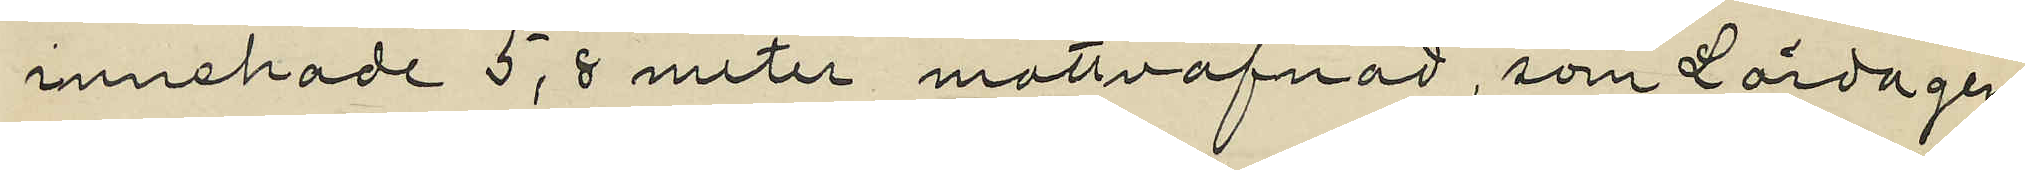innehade 5,8 meter mattväfnad, som Lördagen
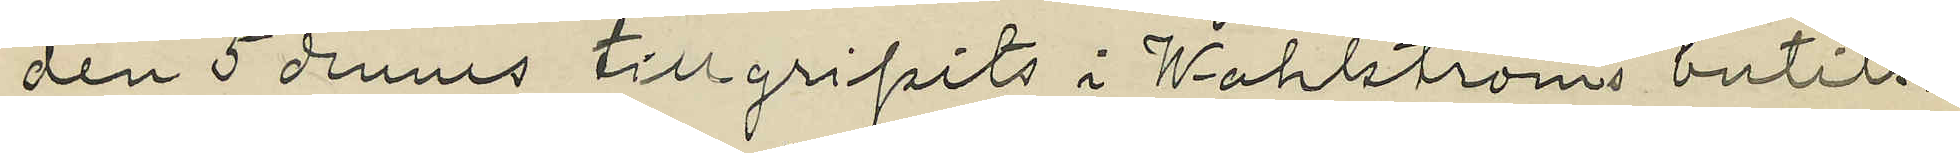den 5 dennes tillgripits i Wahlströms butik.
